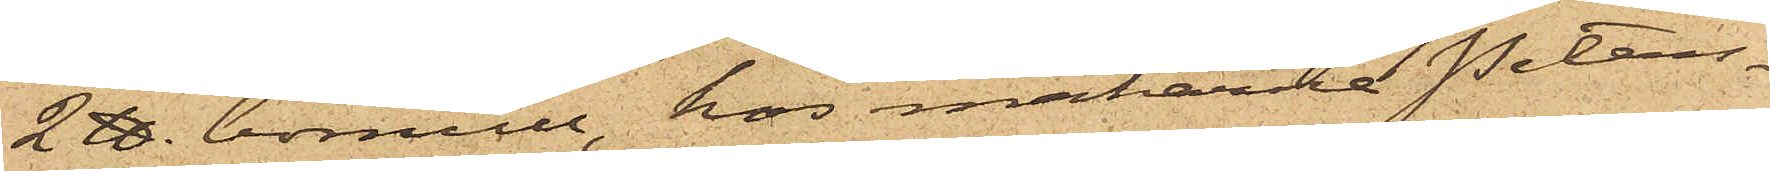2 ℔. bomull, hos makarne Peters¬
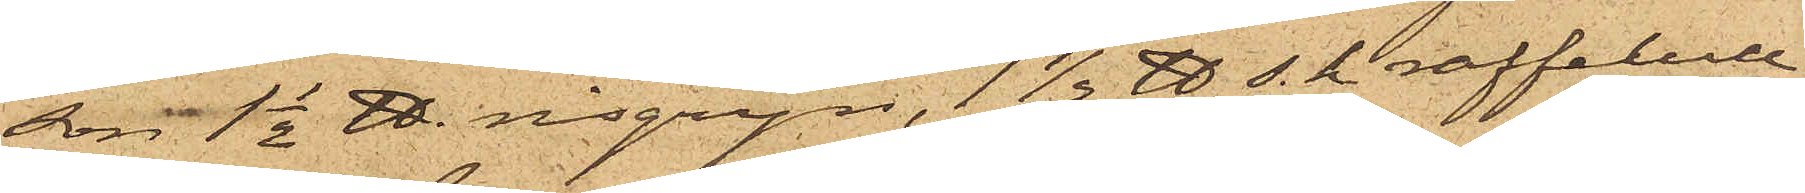son 1 1/2 ℔. risgryn, 1 1/2 ℔ s. k. raffelull
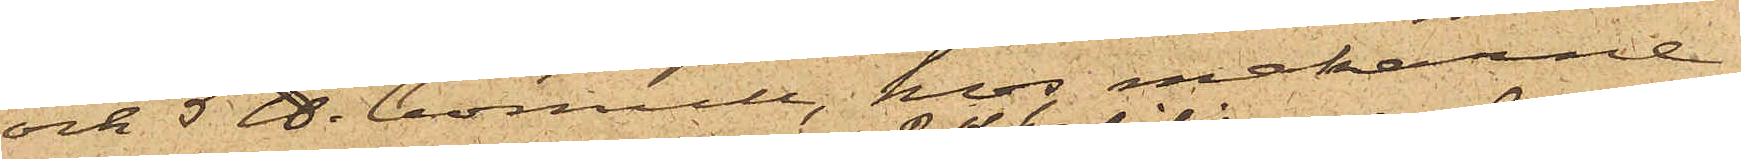och 5 ℔. bomull, hos makarne
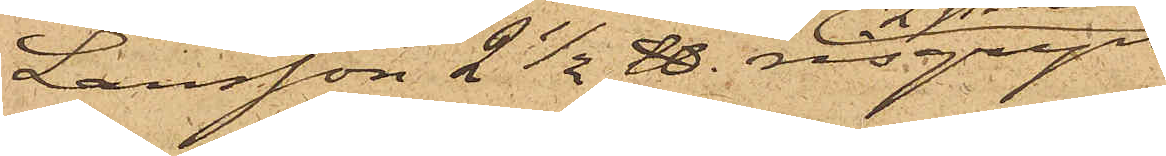Larsson 2 1/2 ℔. risgryn
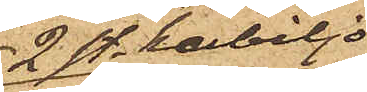2 st. kabiljo
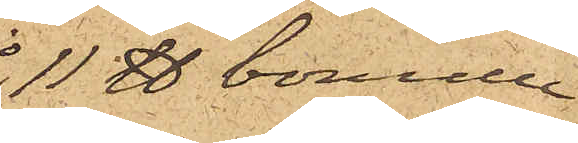11 ℔ bomull
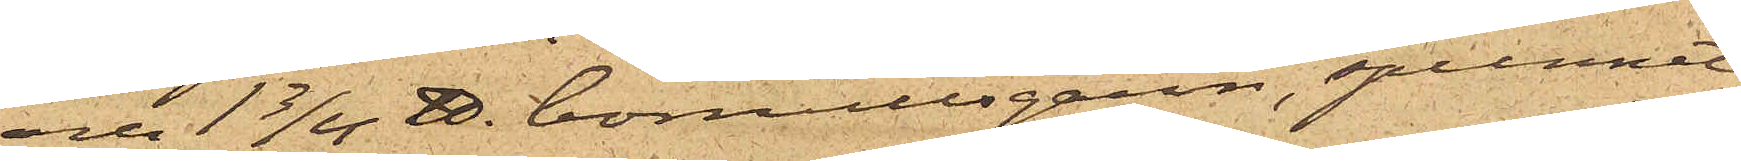och 1 3/4 ℔ bomullsgarn, spunnet
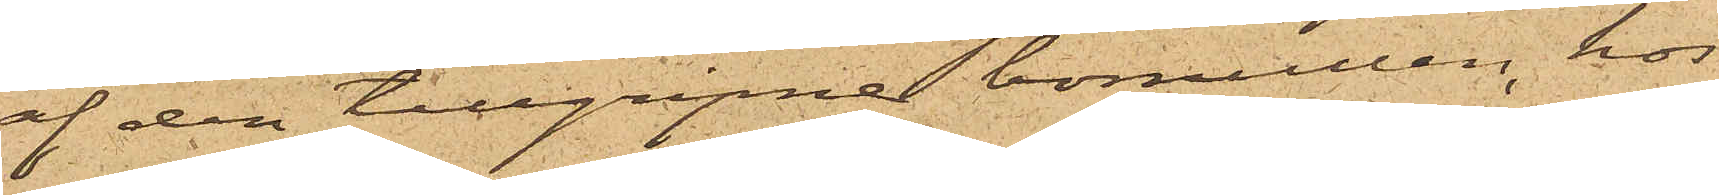af den tillgripne bomullen, hos
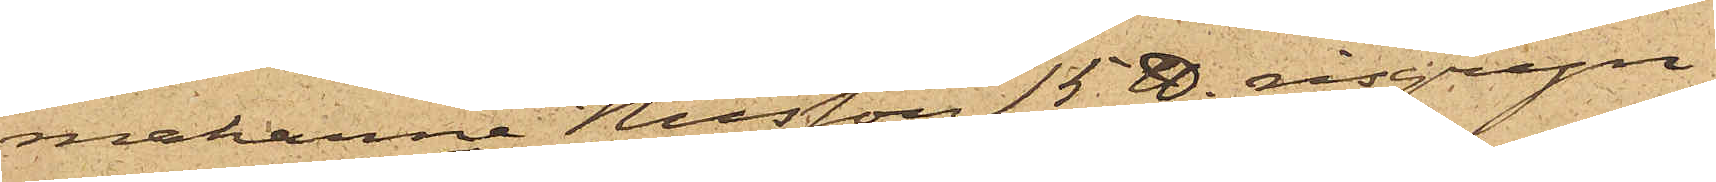makarna Nilsson 15 ℔. risgryn
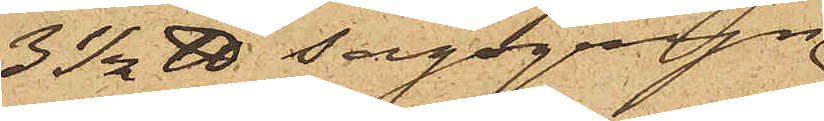3 1/2 ℔ sagogryn
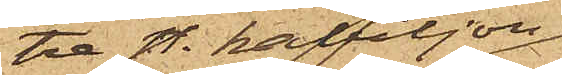tre st. kabiljo
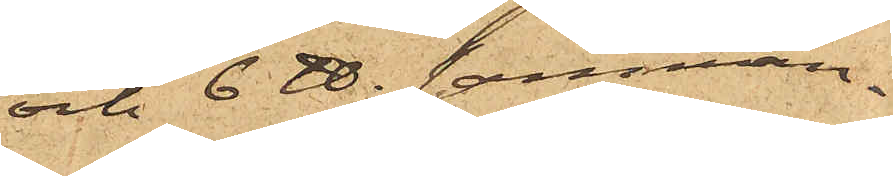och 6 ℔. samman¬
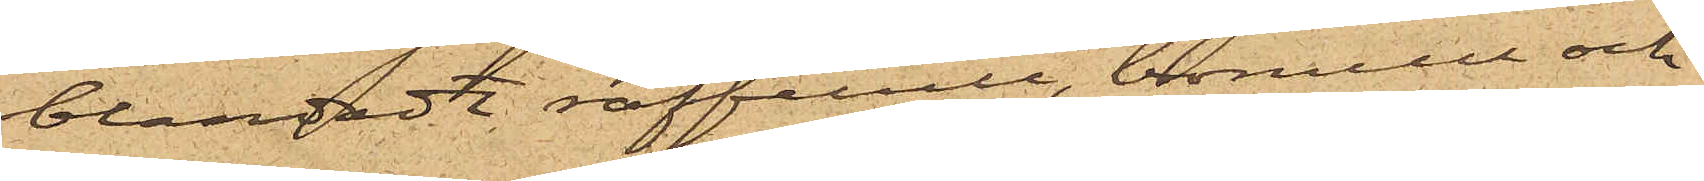blandadt raffelull, bomull och
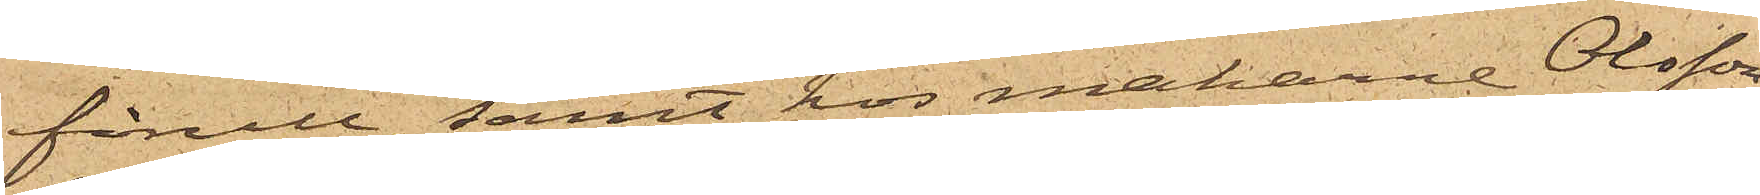fårull, samt hos makarne Olsson
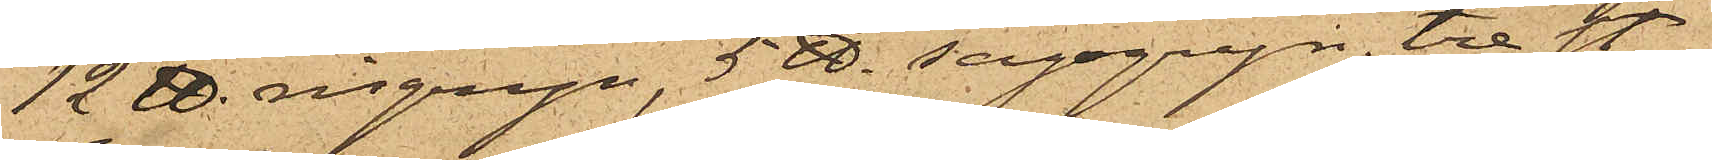12 ℔. risgryn, 5 ℔. sagogryn, tre st
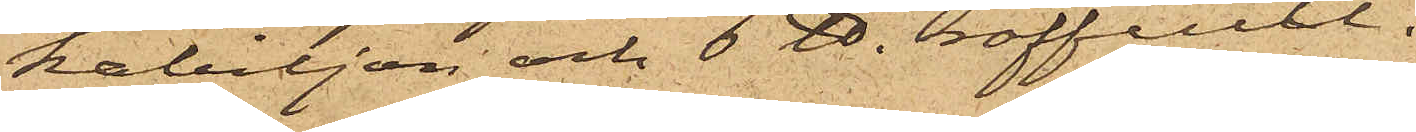kabiljon och 6 ℔. raffelull.
